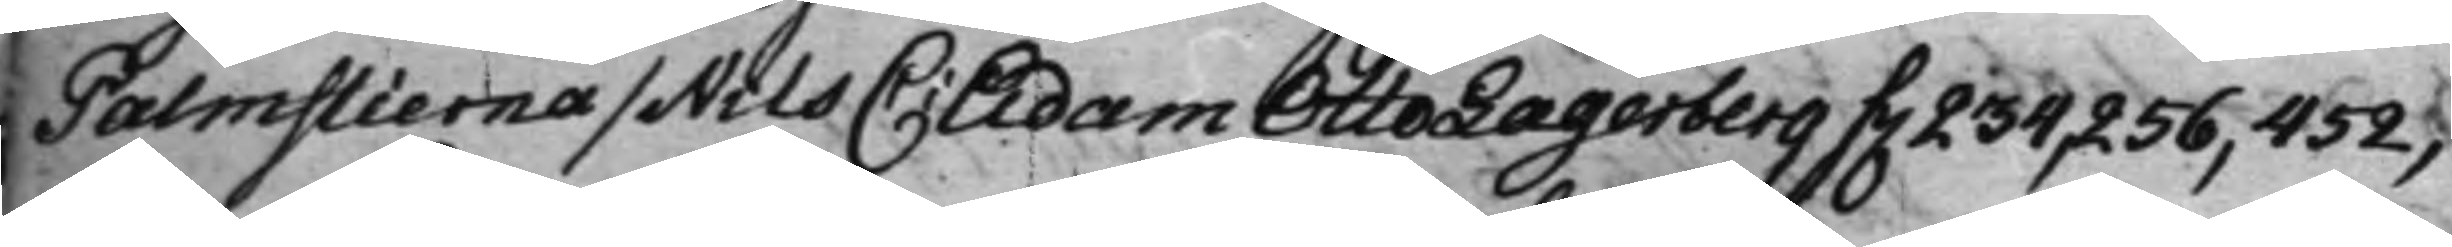Palmstierna / Nils C: Adam Otto Lagerberg f. 234 256, 452;
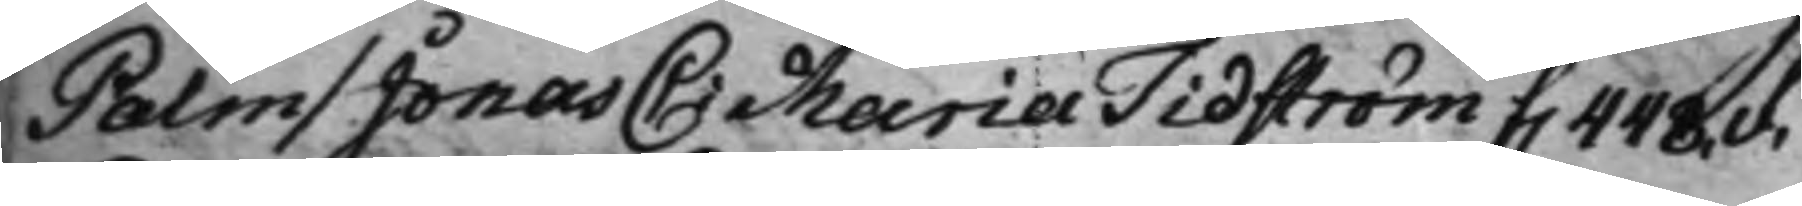Palm / Jonas C: Maria Tidström f. 448.v.
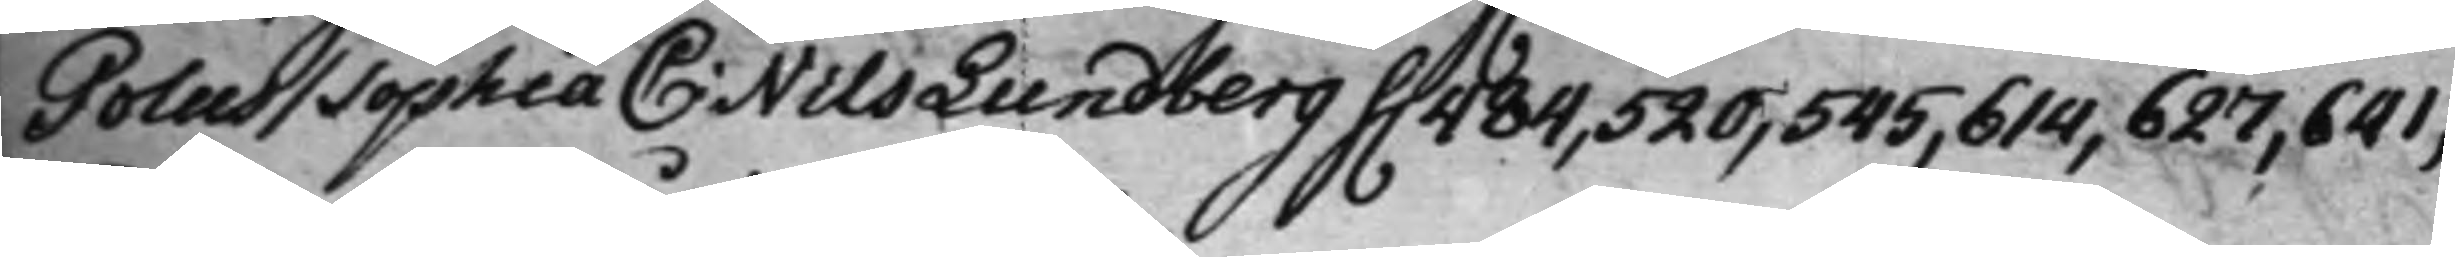Polus / Sophia C: Nils Lundberg f. 484, 520, 545, 614, 627, 641,
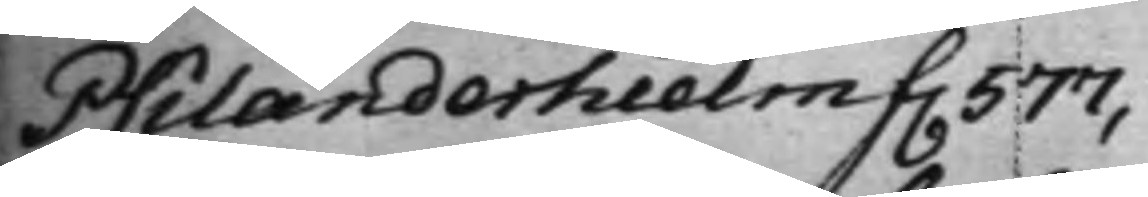Psilanderhielm f. 577,
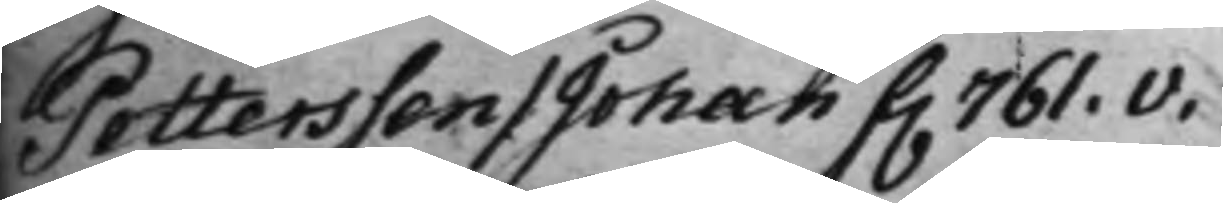Pettersson / Johan f. 761.v.
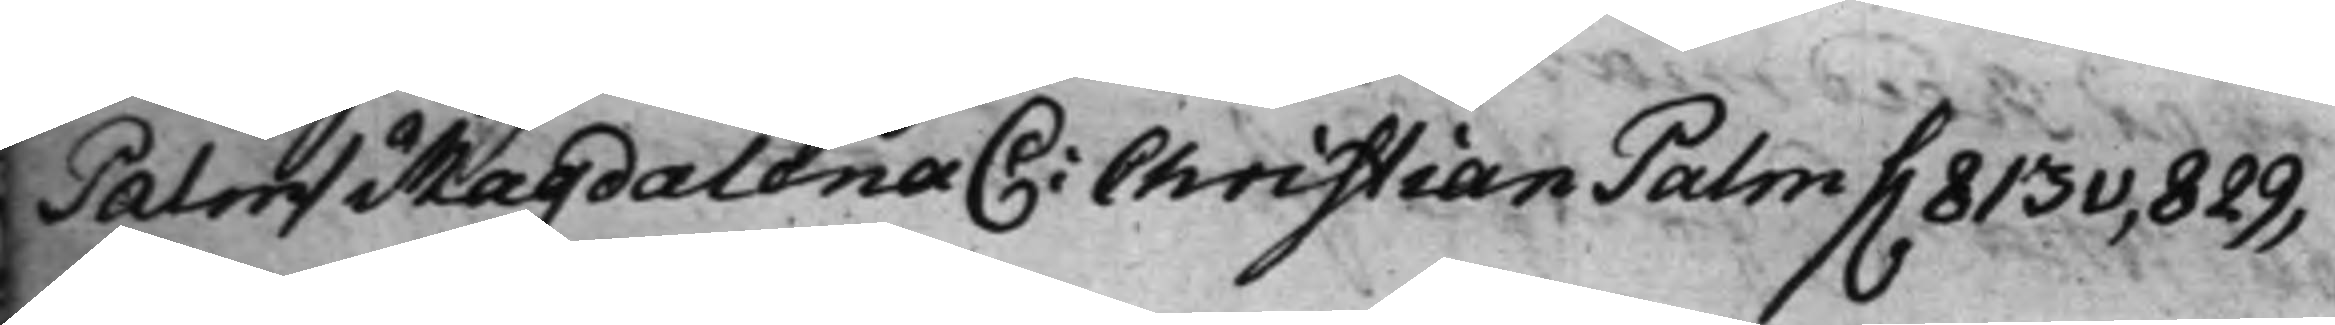Palm / Magdalena C: Christian Palm f. 813v, 829,
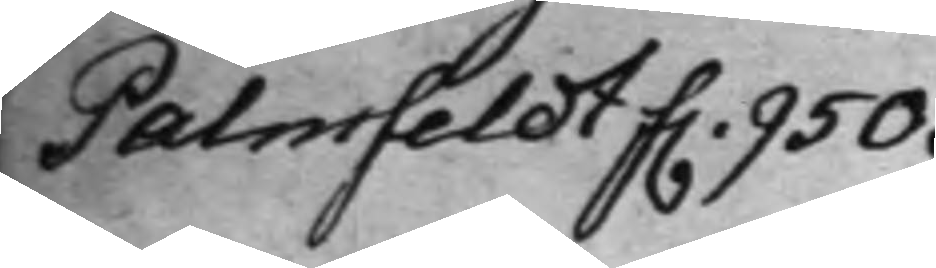Palmfeldt f. 950.
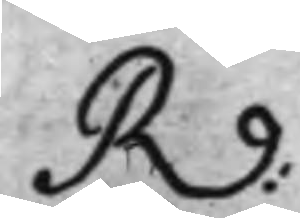R:
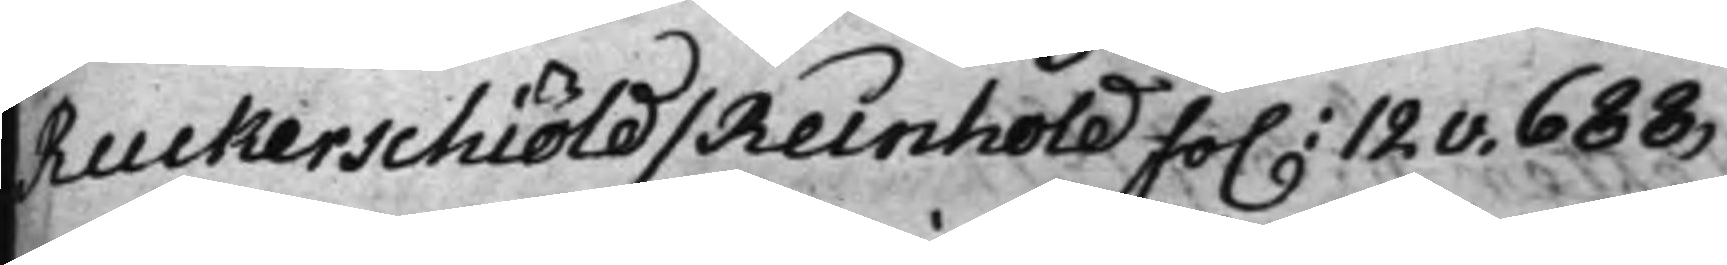Ruckerschiöld / Reinhold fo. 12v. 688,
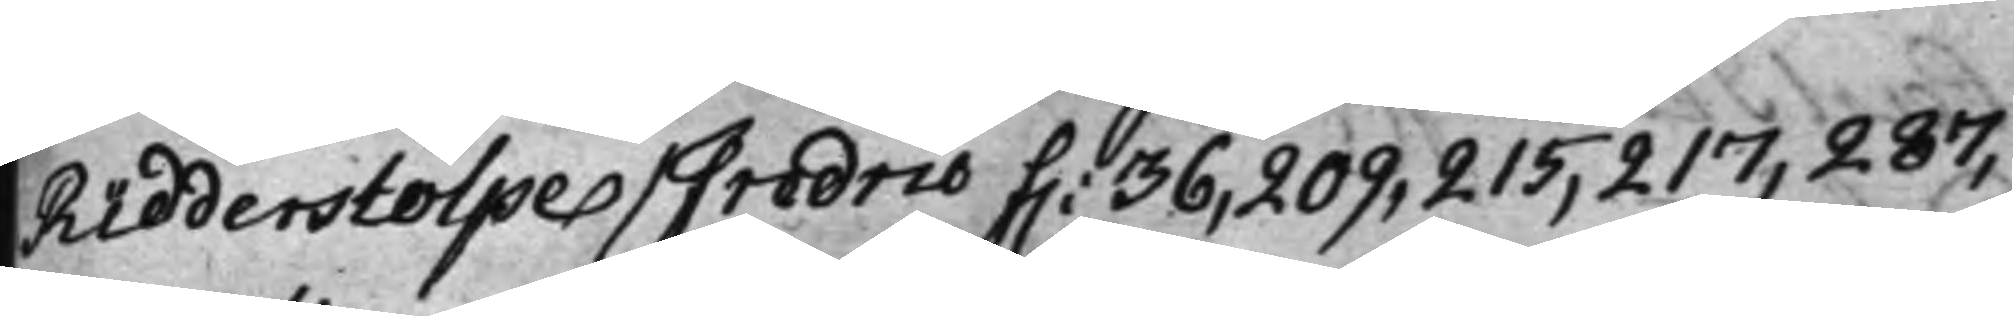Ridderstolpe / Fredric f. 36, 209, 215, 217, 287,
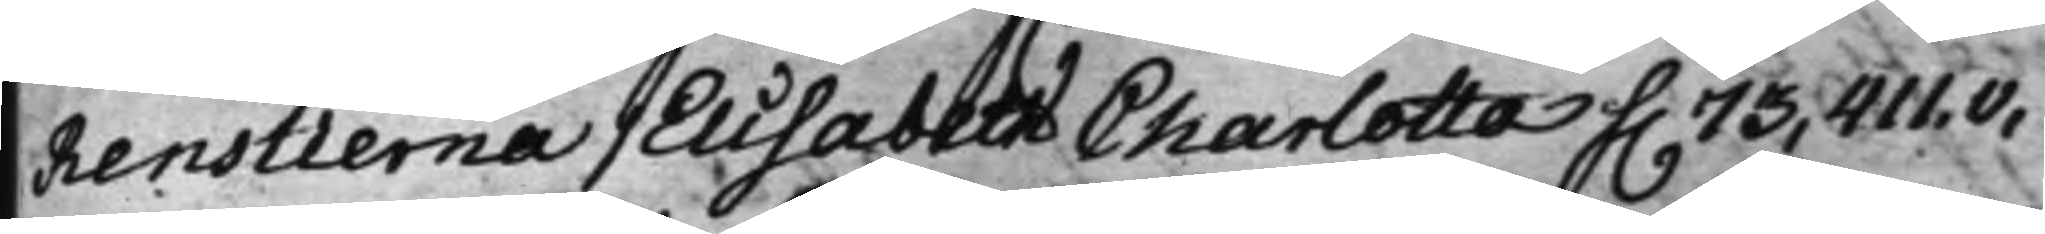Renstierna / Elisabeth Charlotta f. 73, 411.v,
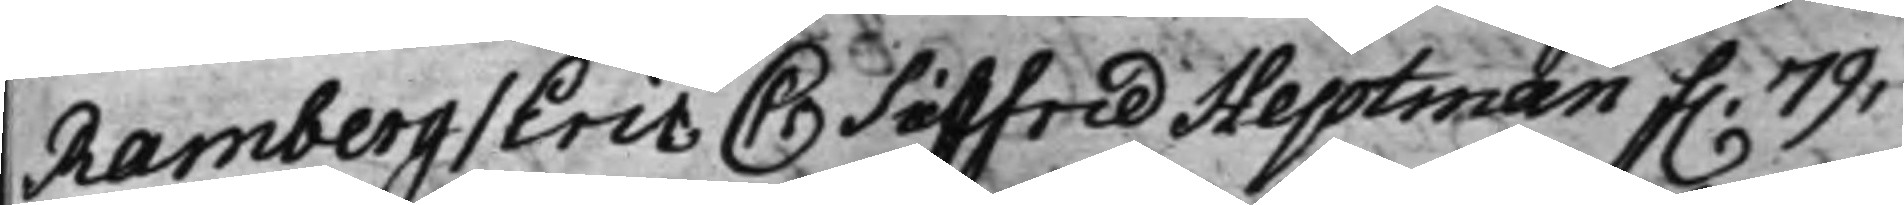Ramberg / Eric C: Sigfrid Heptman f. 79,
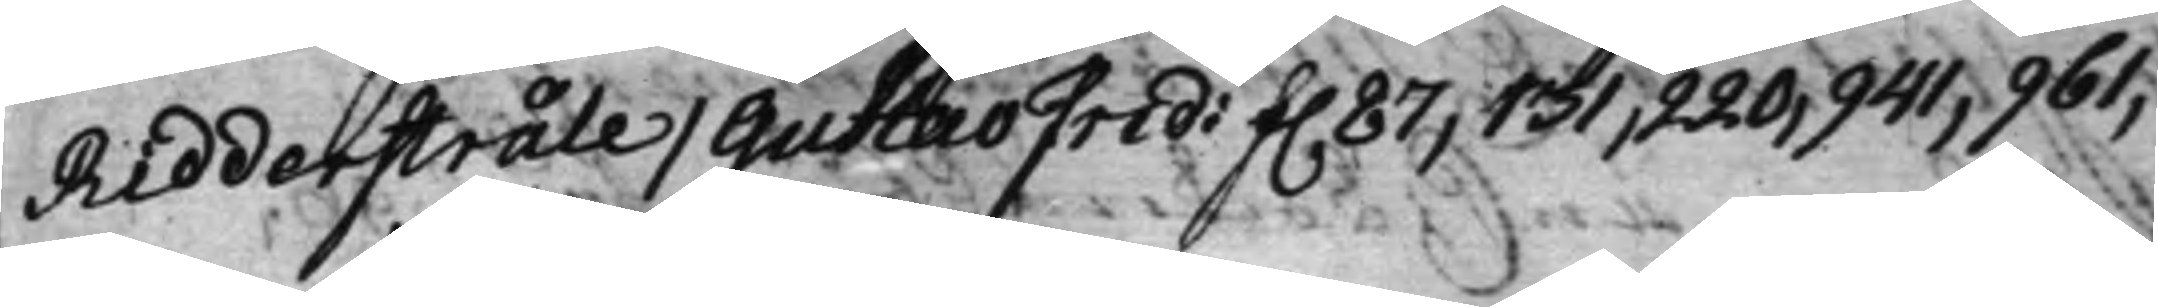Ridderstråle / Gustav Frid: f. 87, 131, 220, 941, 961,
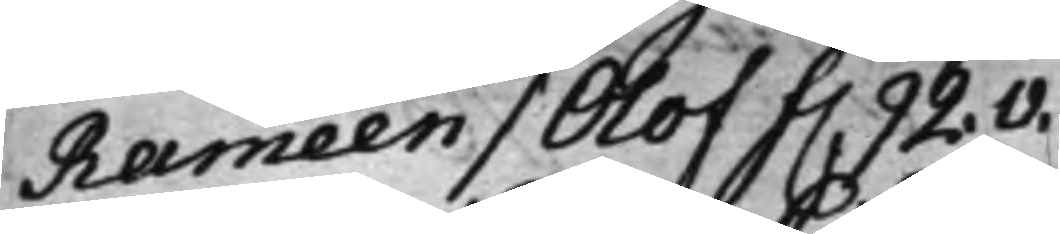Raméen / Olof f. 92.v.
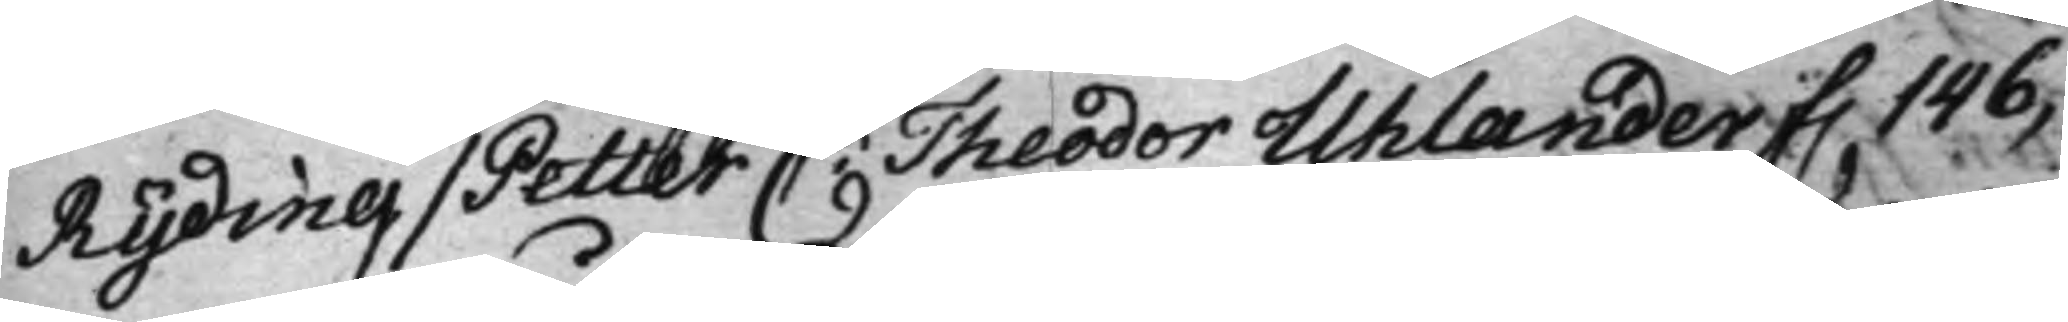Ryding / Petter C: Theodor Uhlander f. 146,
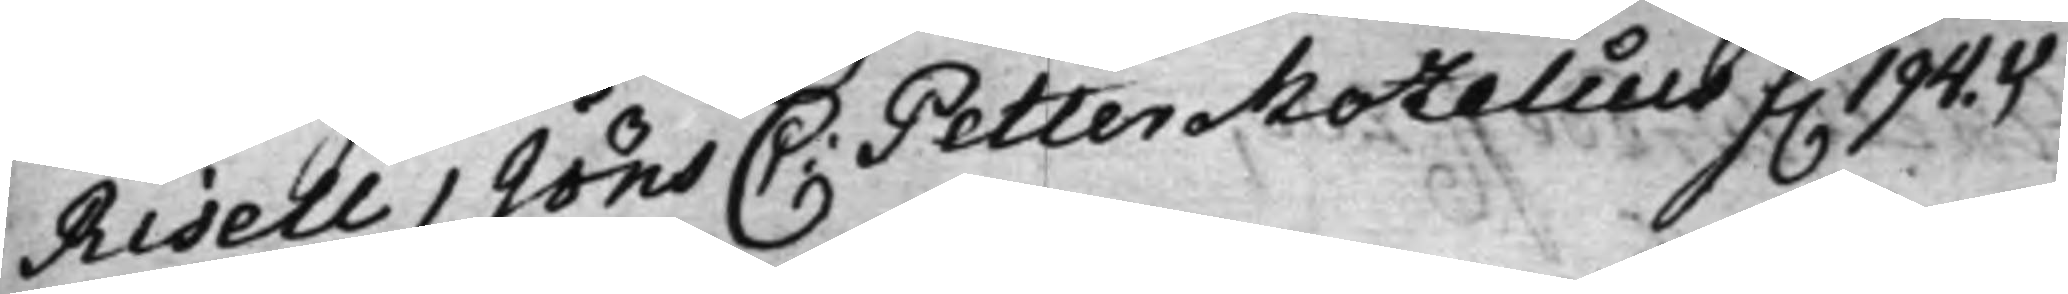Risell / Jöns C: Petter Mozelius f. 194.v.
